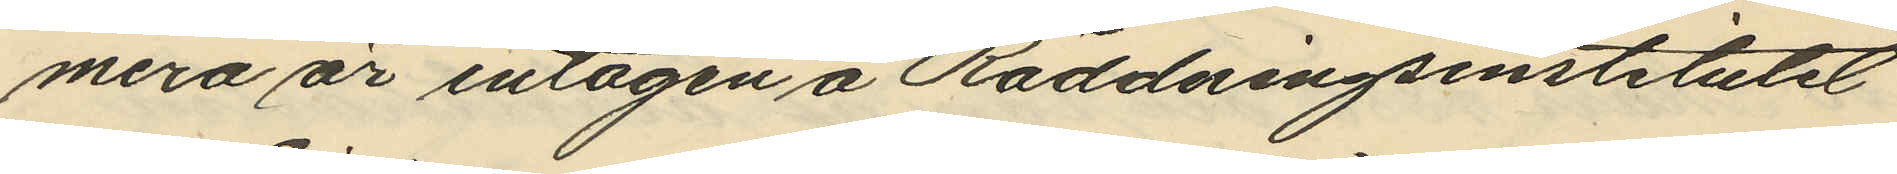mera är intagen å Räddningsinstitutet
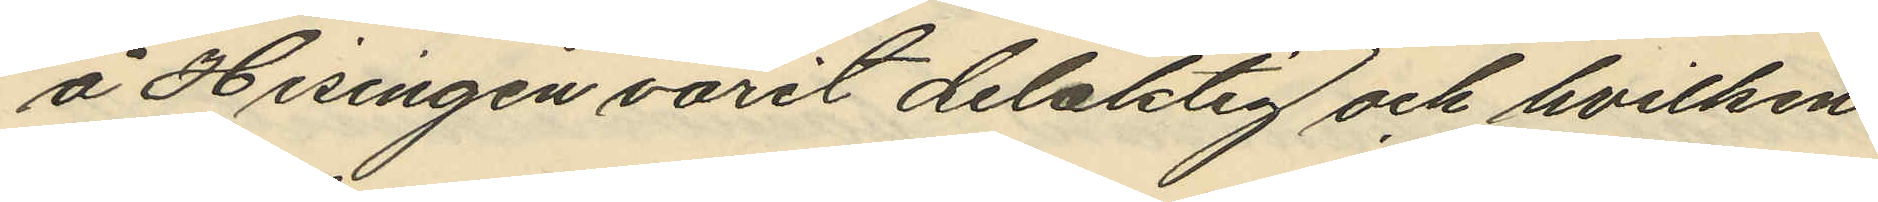å Hisingen varit delaktig och hvilken
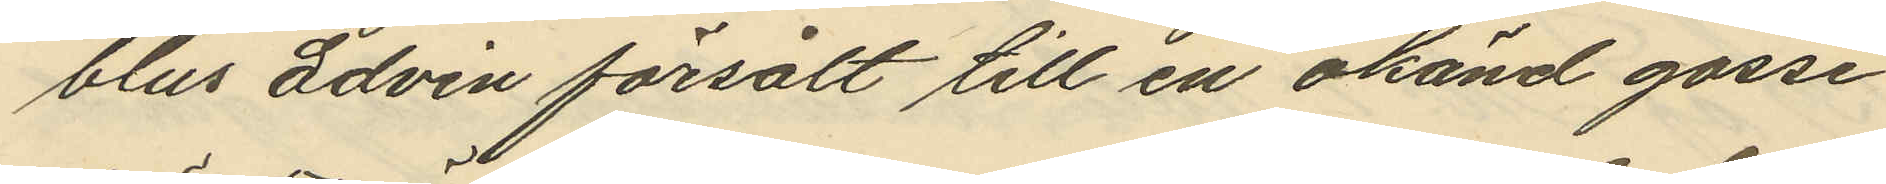blus Edvin försålt till en okänd gosse
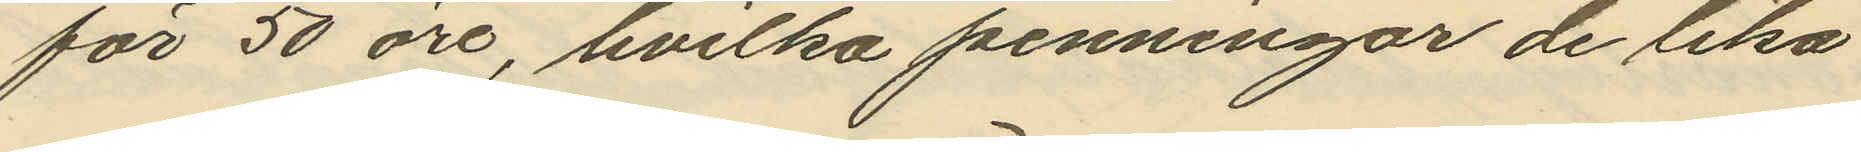för 50 öre, hvilka penningar de lika
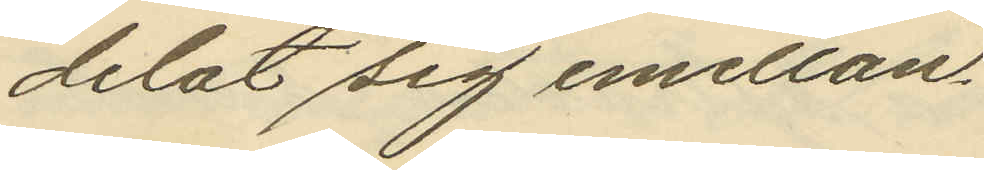delat sig emellan.
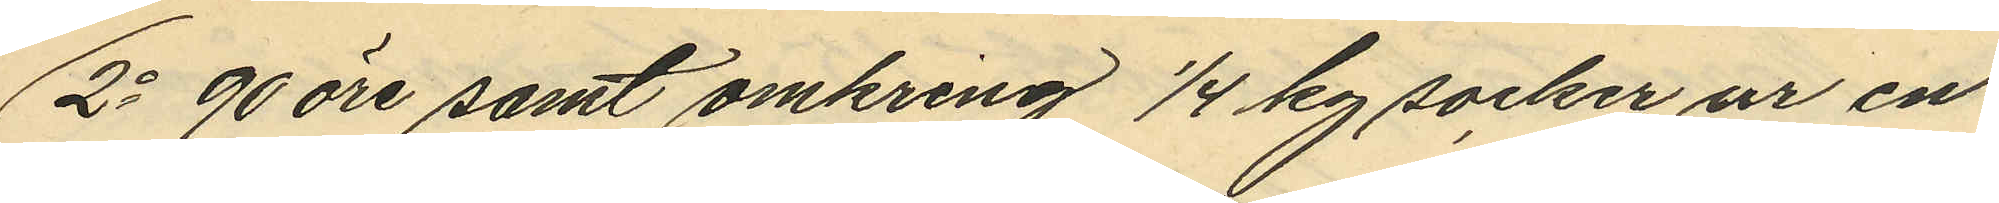2o 90 öre samt omkring 1/4 kg socker ur en
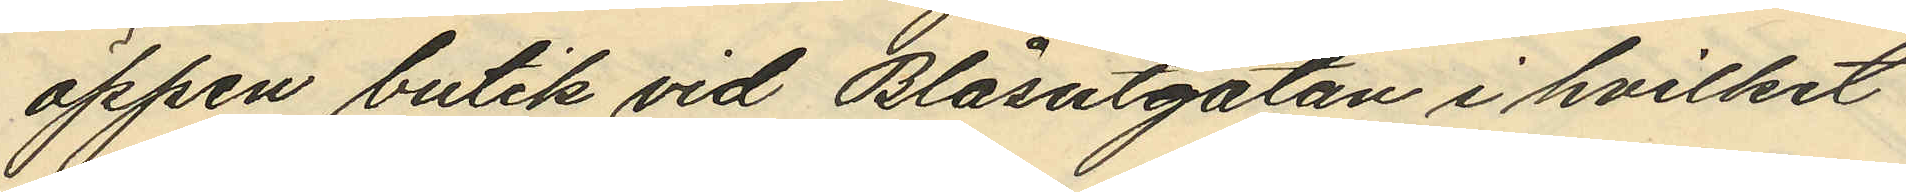öppen butik vid Blåsutgatan i hvilket
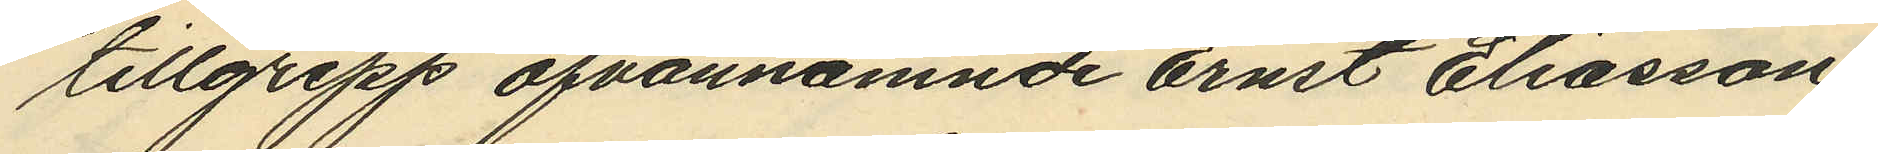tillgrepp ofvannämnde Ernst Eliasson
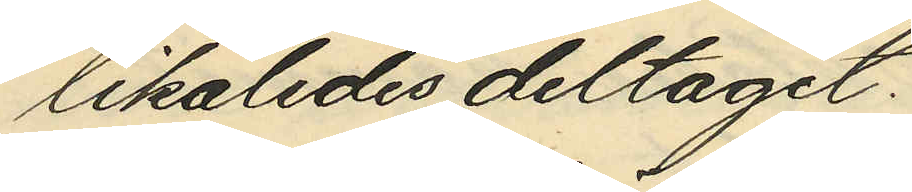likaledes deltagit.
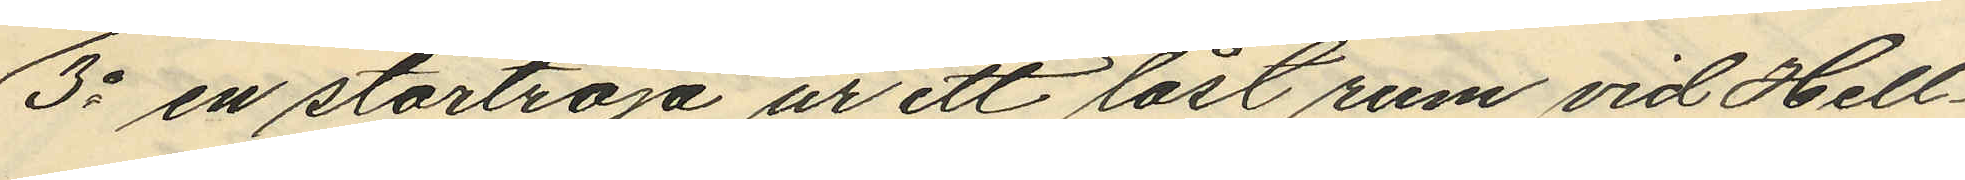3o en stortröja ur ett låst rum vid Hell¬
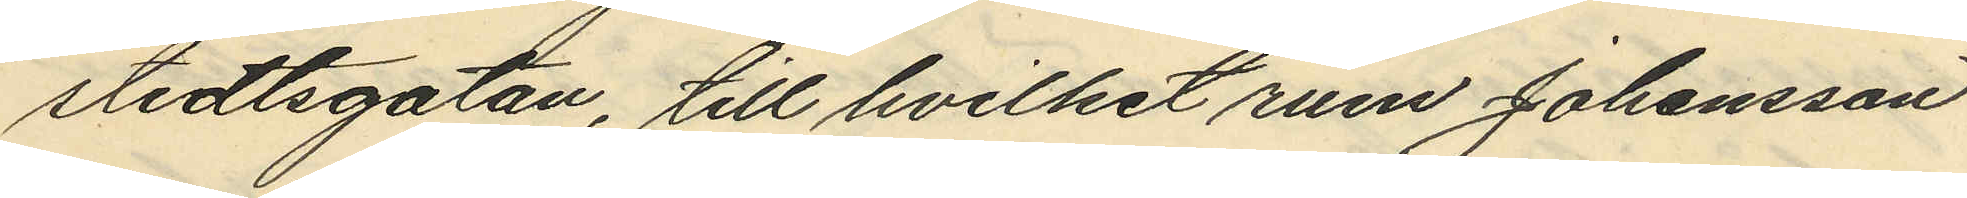stedtsgatan, till hvilket rum Johansson
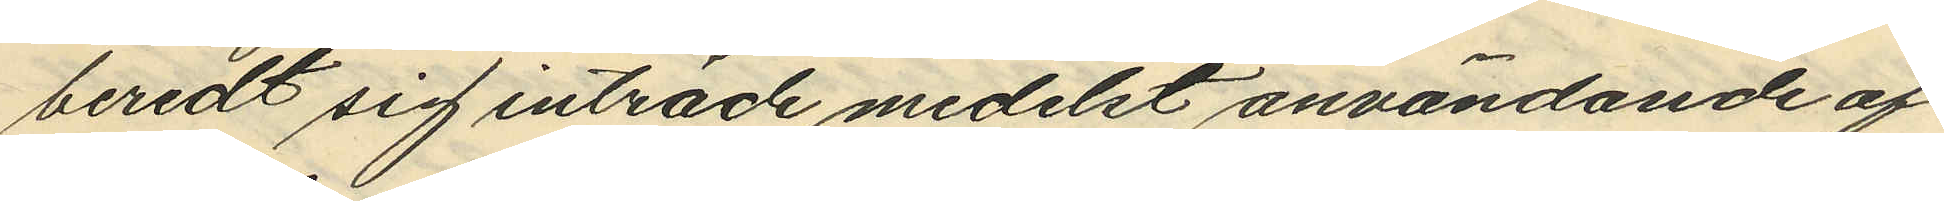beredt sig inträde medelst användande af
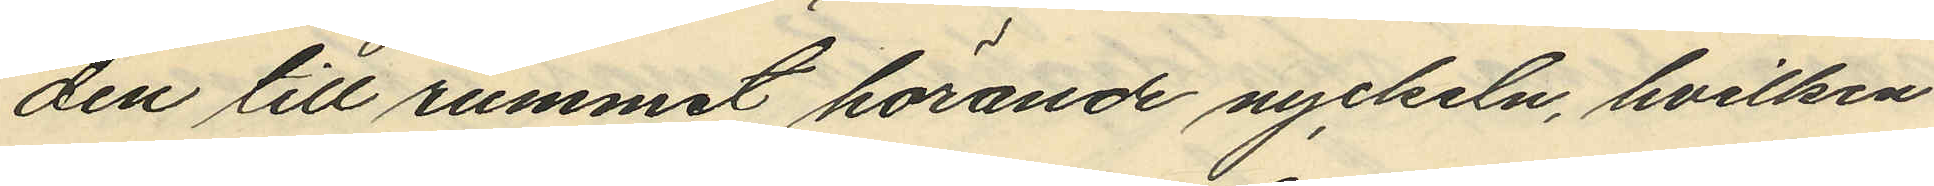den till rummet hörande nyckeln, hvilken
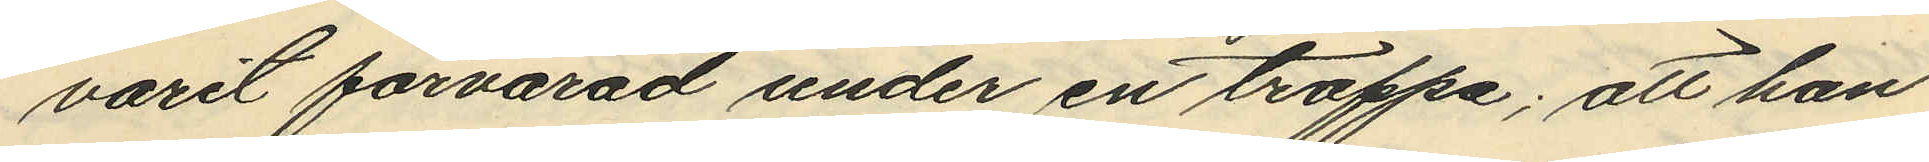varit förvarad under en trappa; att han
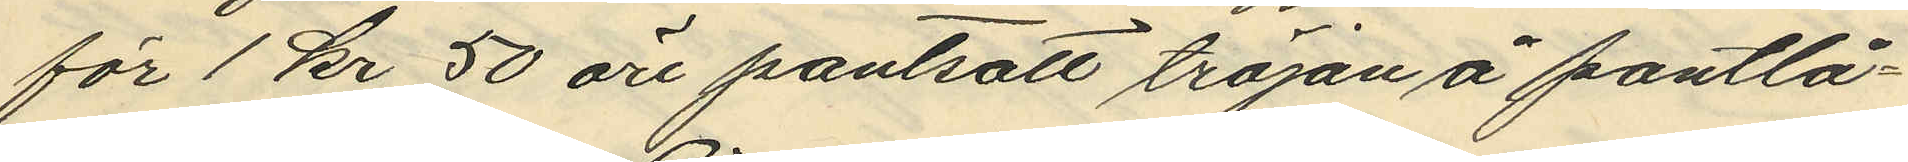för 1 kr 50 öre pantsatt tröjan å pantlå¬
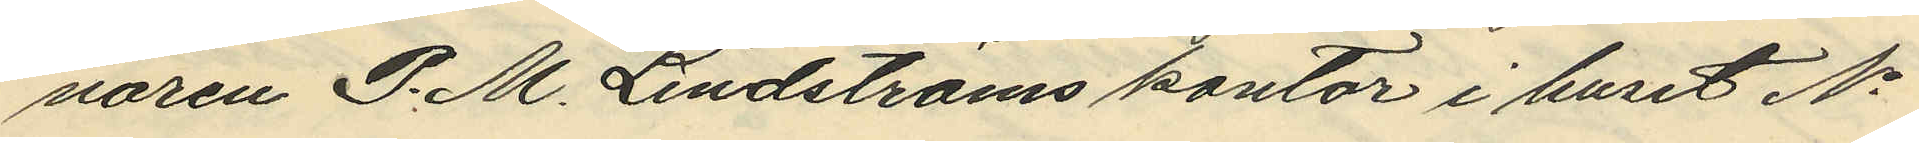naren P. M. Lindströms kontor i huset No
